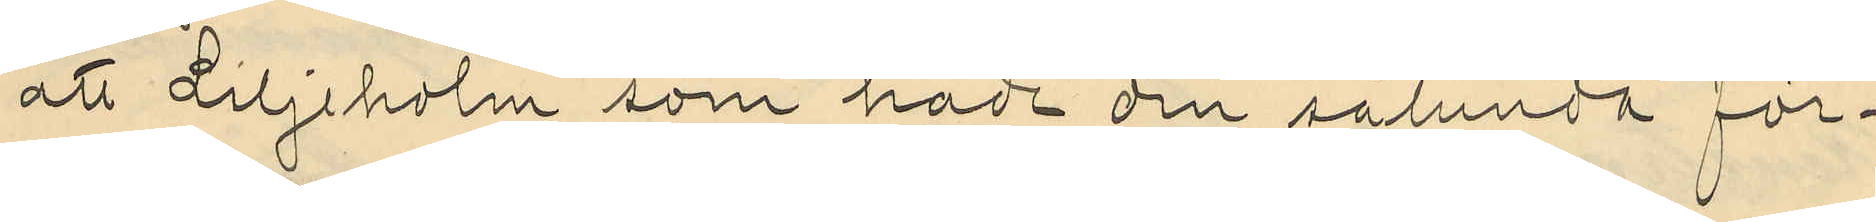att Liljeholm som hade den sålunda för¬
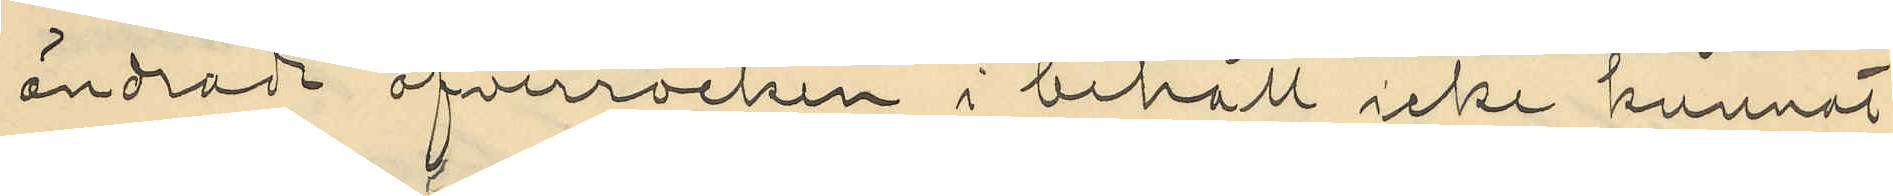ändradt öfverrocken i behåll icke kunnat
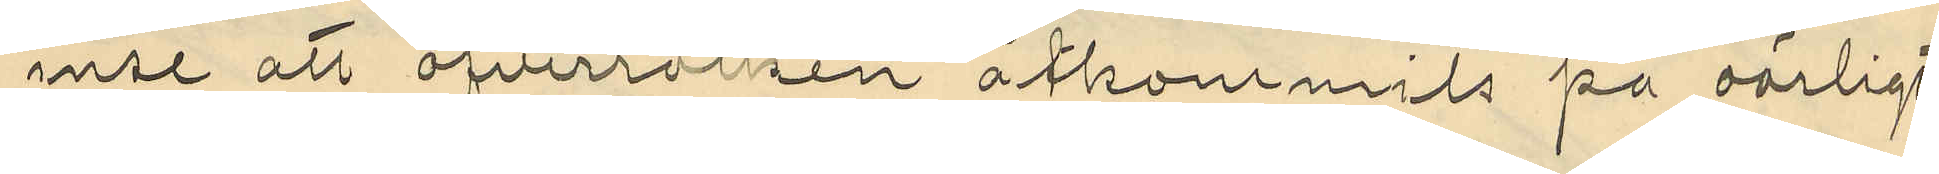inse att öfverrocken åtkommits på oärligt
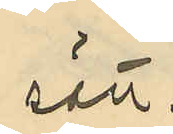sätt
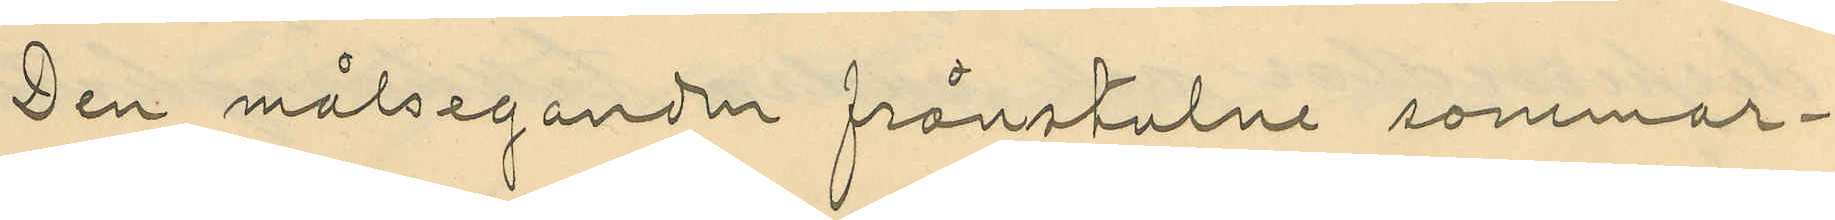Den målseganden frånstulne sommar¬
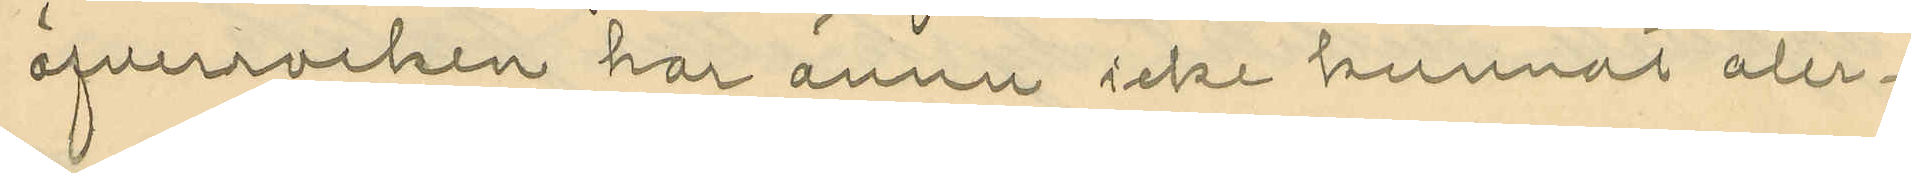öfverrocken har ännu icke kunnat åter¬
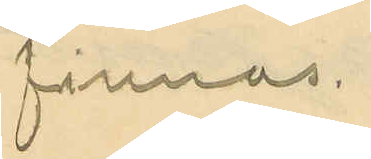finnas.
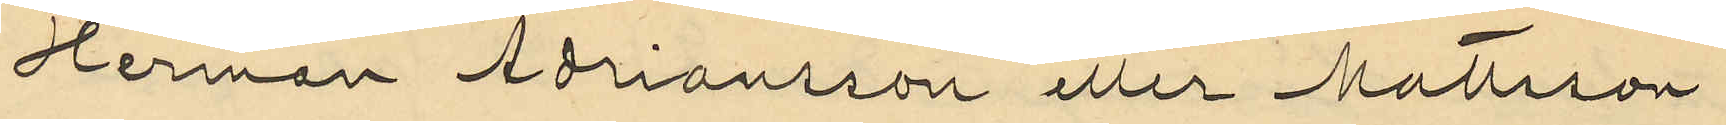Herman Adriansson eller Mattsson
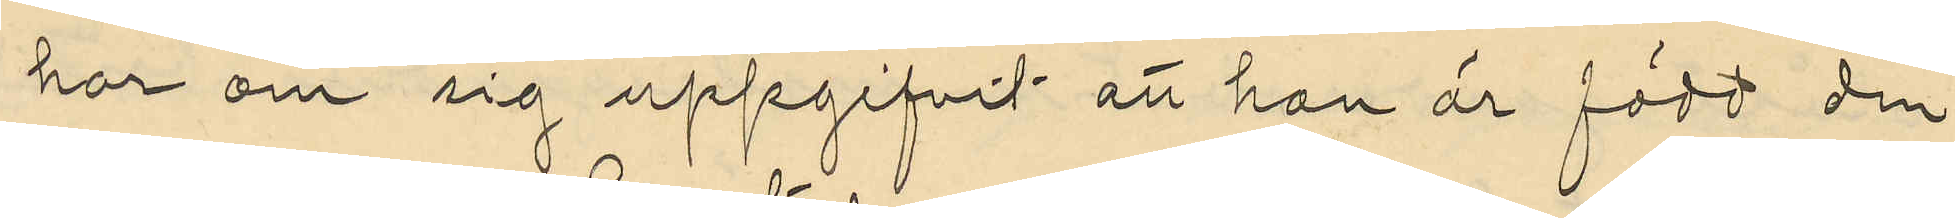har om sig uppgifvit att han är född den
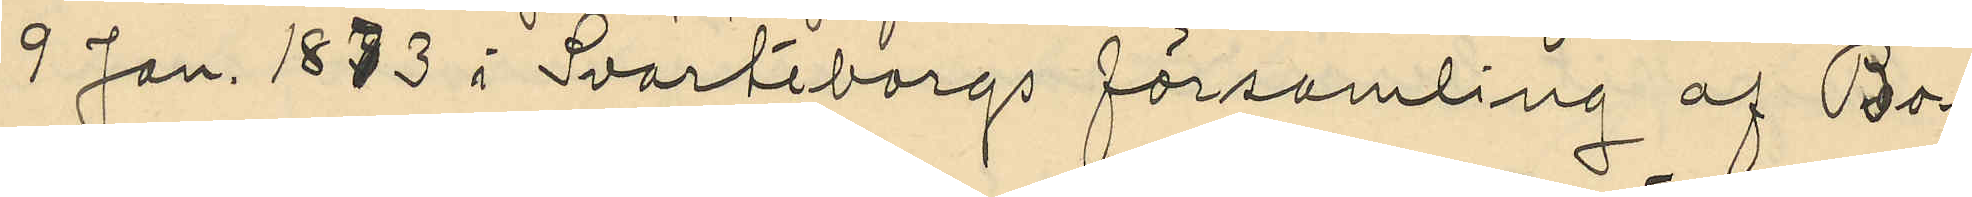9 Jan. 1873 i Svarteborgs församling af Bo¬
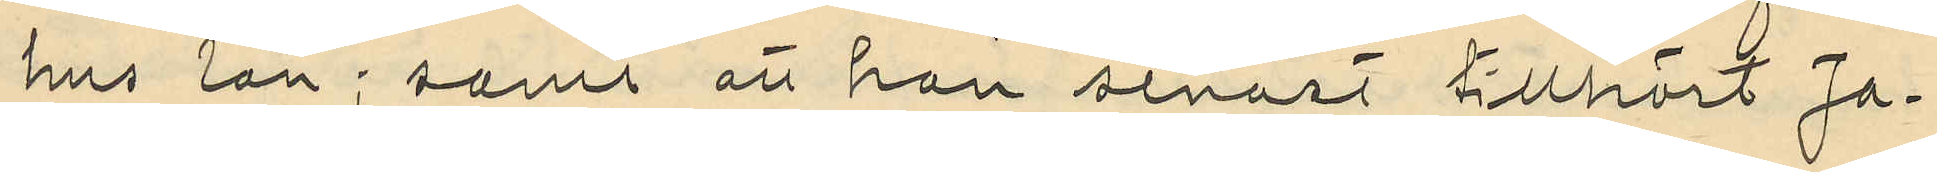hus län; samt att han senast tillhört Ja¬
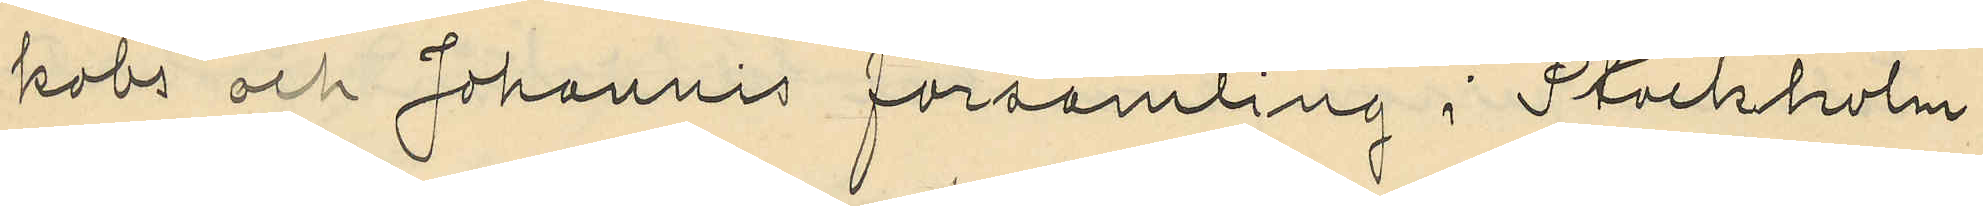kobs och Johannis församling i Stockholm
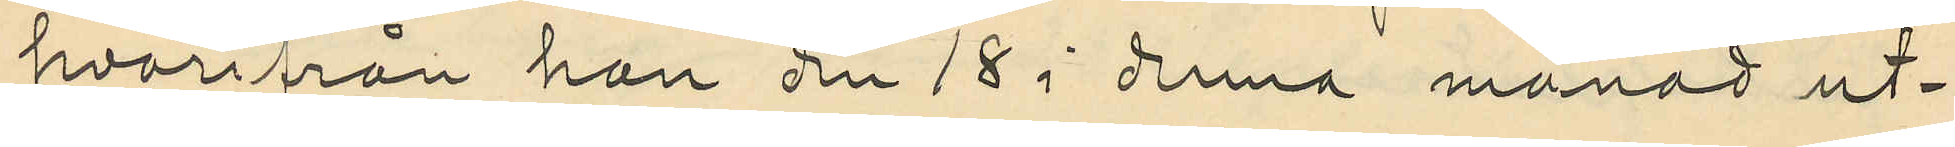hvarifrån han den 18 i anna månad ut¬
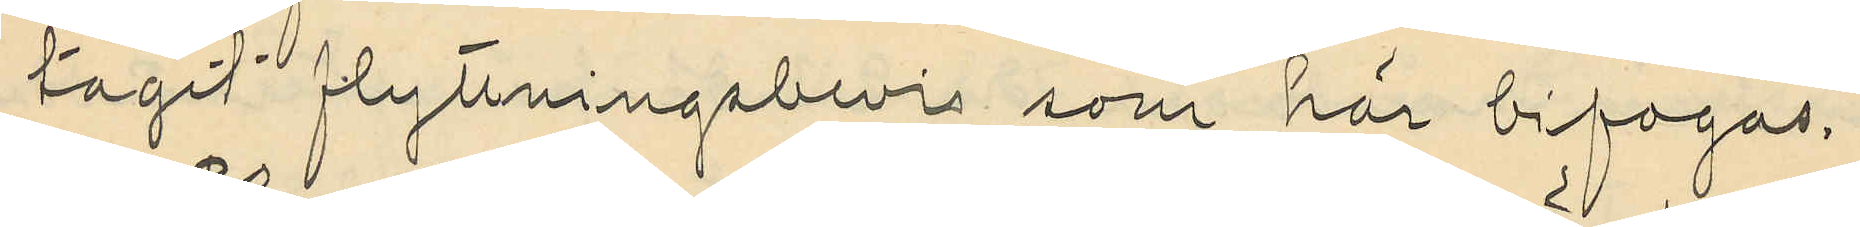tagit flyttningabevis, som har bifogas.
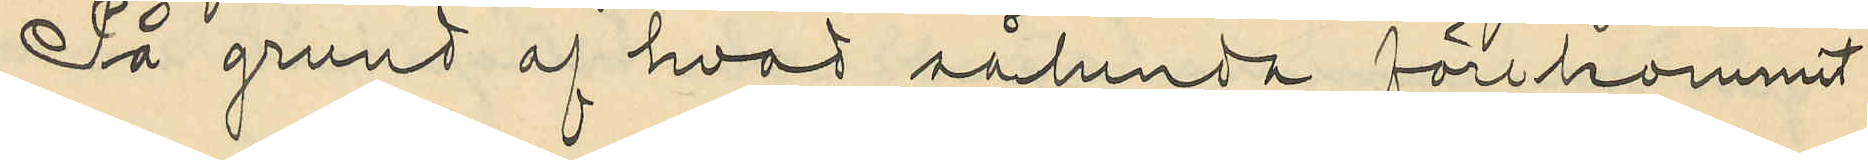På grund af hvad sålunda förekommit
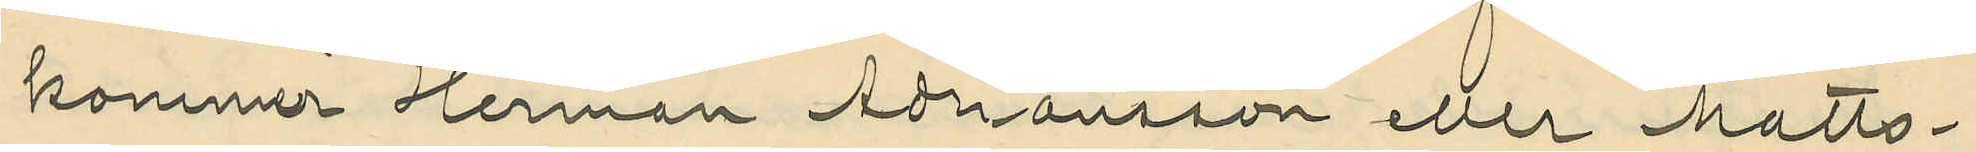kommer Herman Adriansson eller Matts¬
